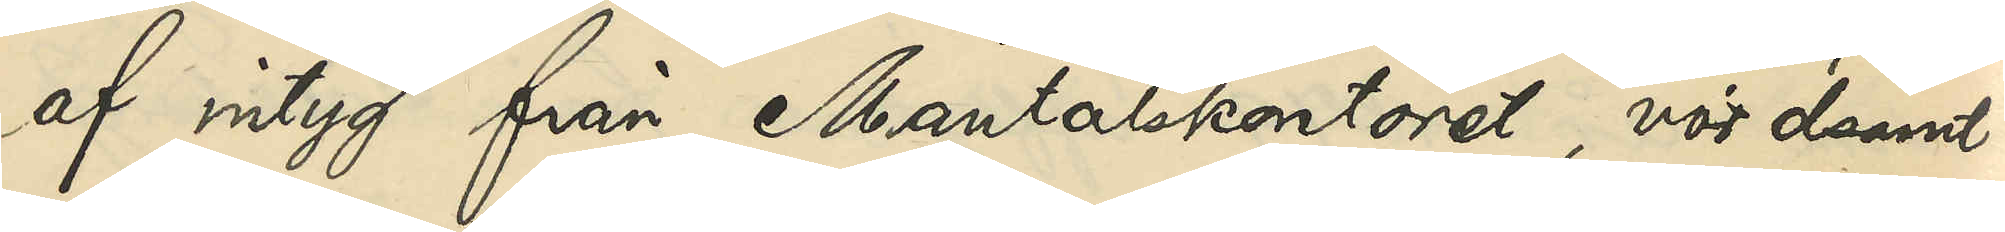af intyg från Mantalskontoret, vördsamt
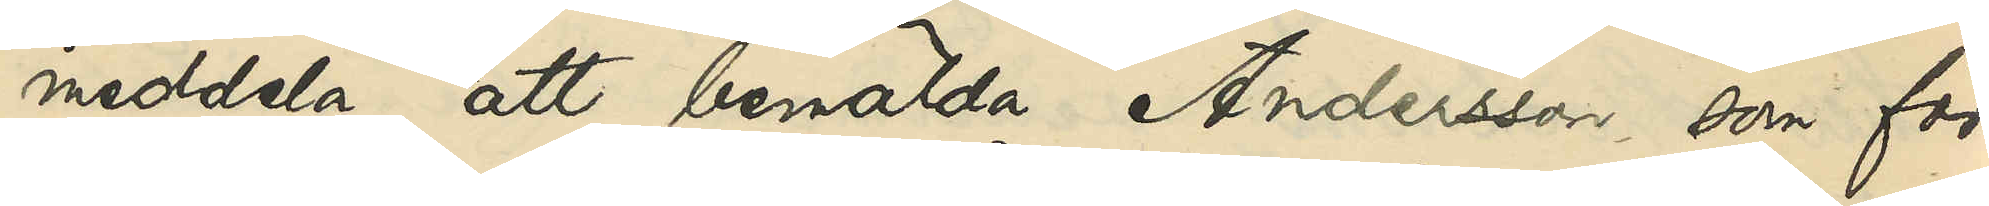meddela, att bemälda Andersson som för
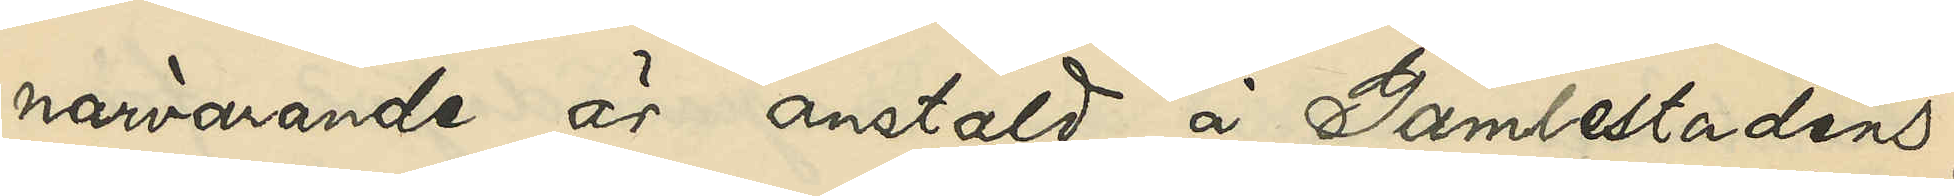närvarande är anstäld å Gamlestadens
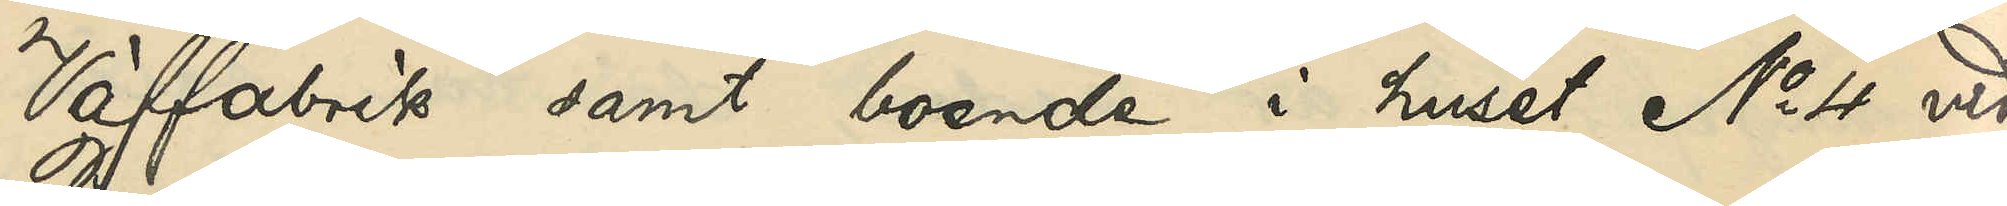Väffabrik samt boende i huset No 4 vid
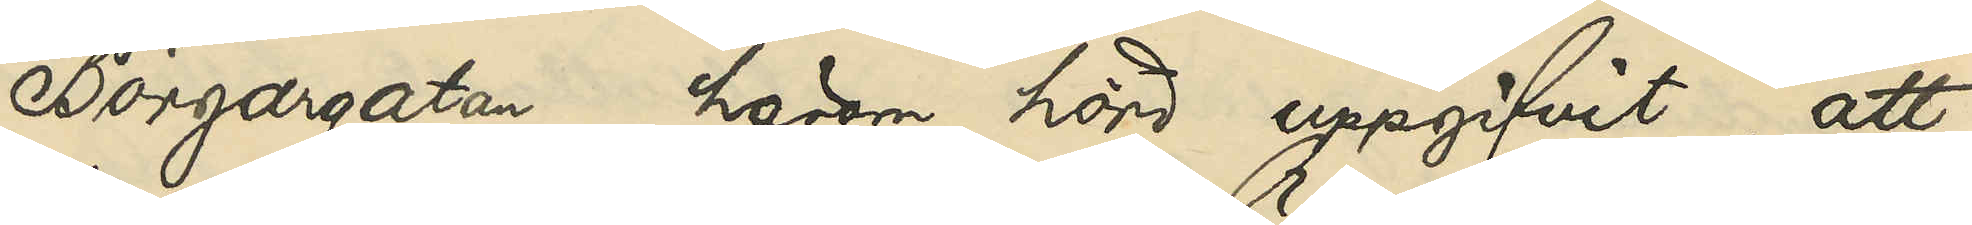Borgargatan, härom hörd uppgifvit, att
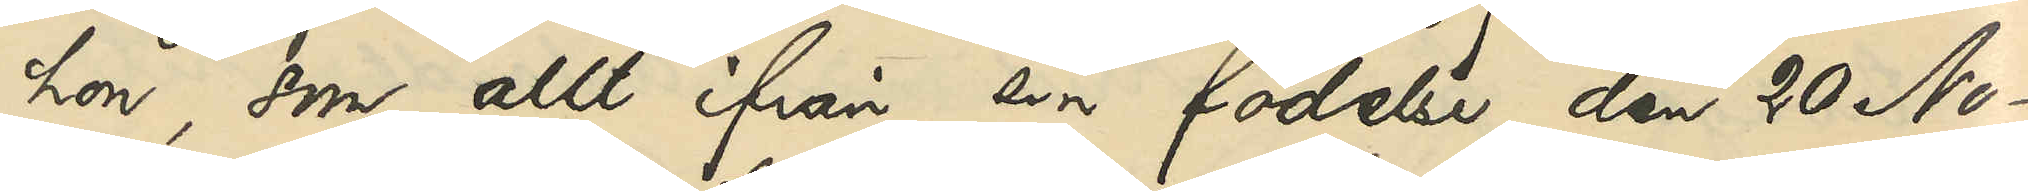hon, som allt ifrån sin födelse den 20 No¬
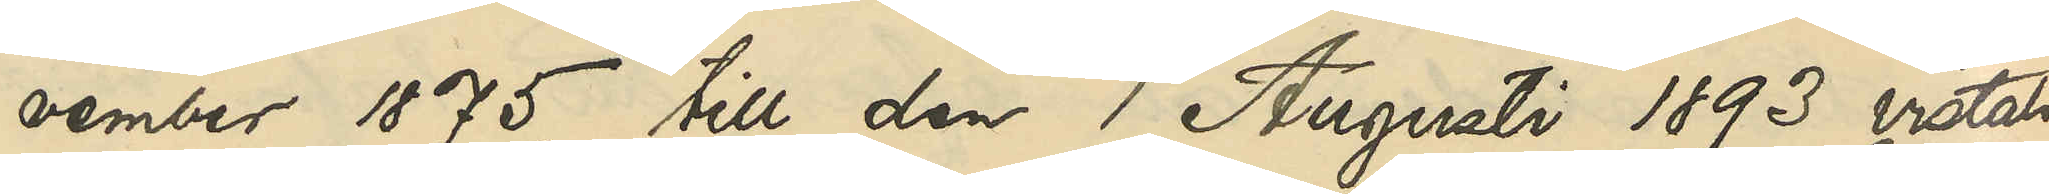vember 1875, till den 1 Augusti 1893 vistats
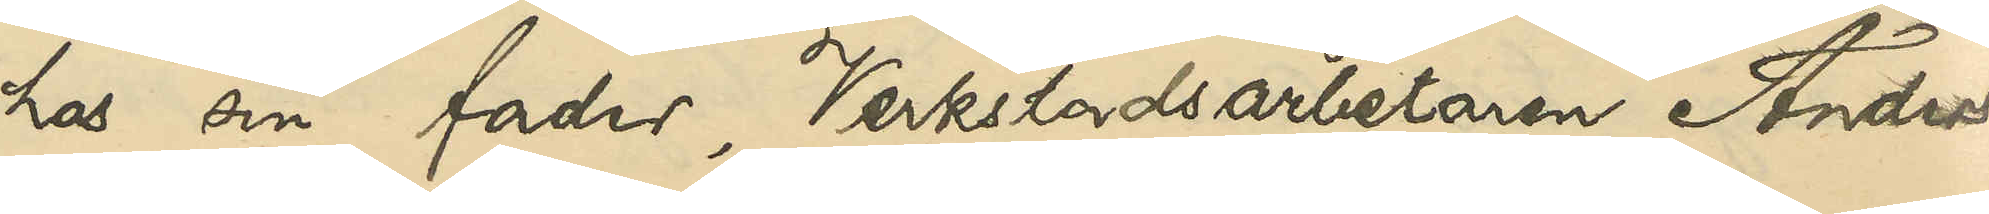hos sin fader, Verkstadsarbetaren Anders
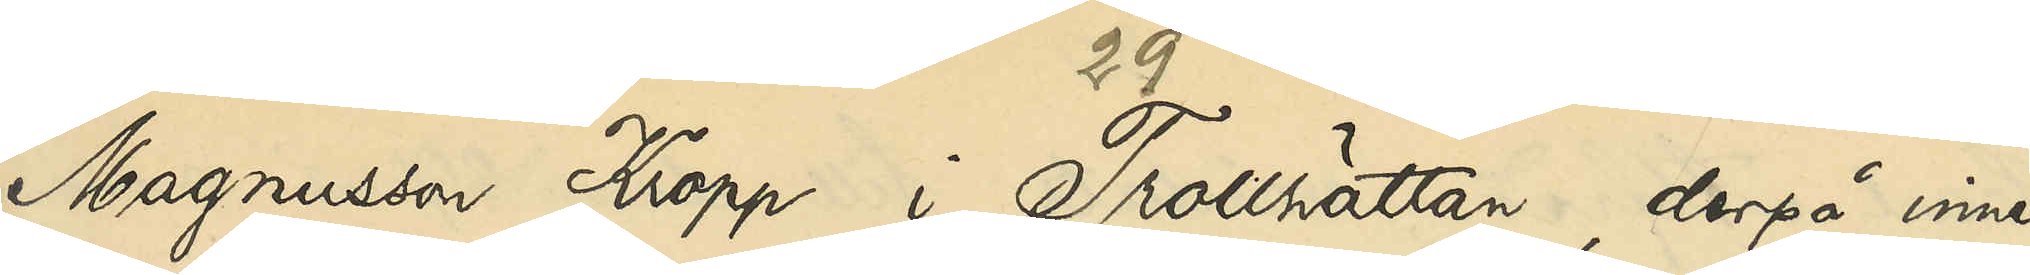Magnusson Kropp i Trollhättan, derpå inne¬
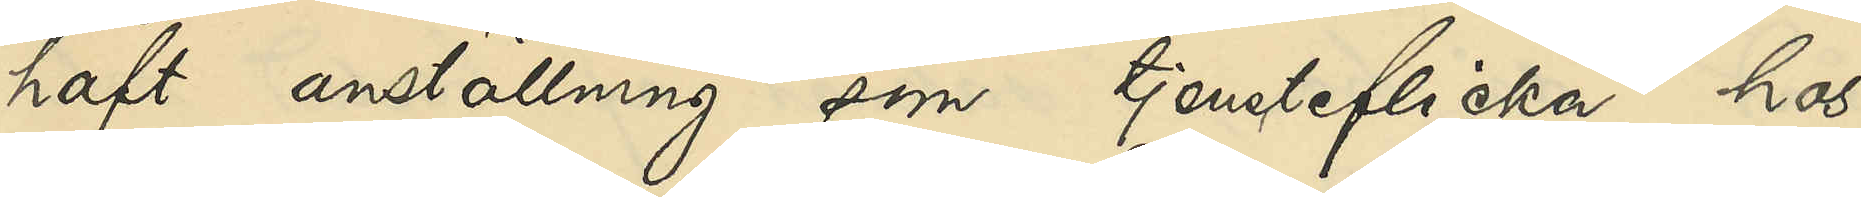haft anställning som tjensteflicka hos
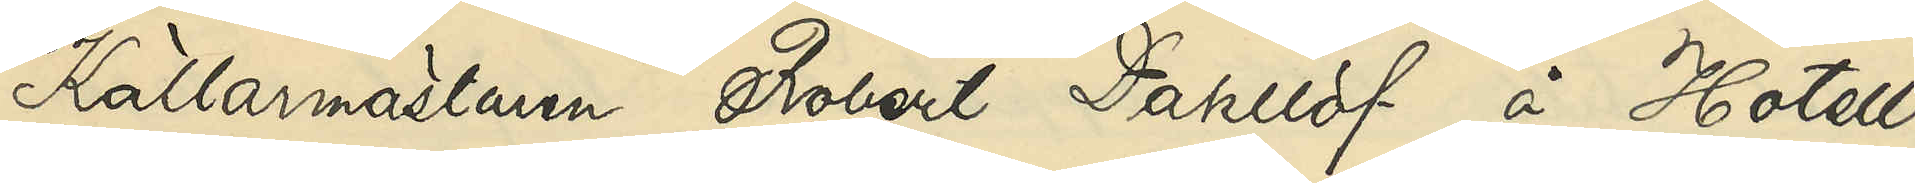Källarmästaren Robert Dahllöf å Hotell
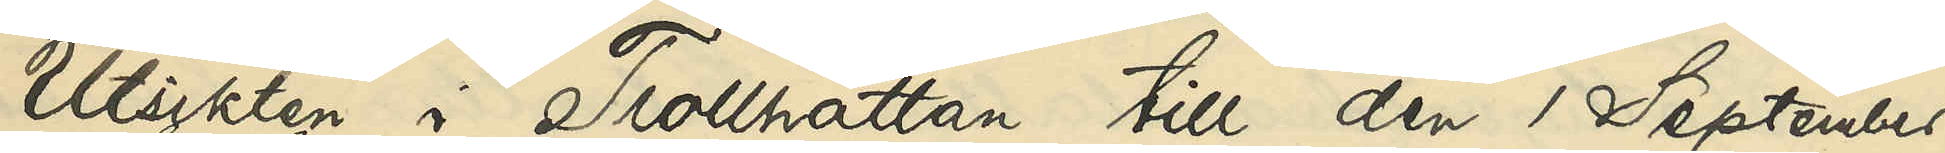Utsikten i Trollhättan till den 1 September
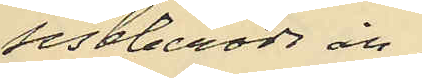sistberörde år
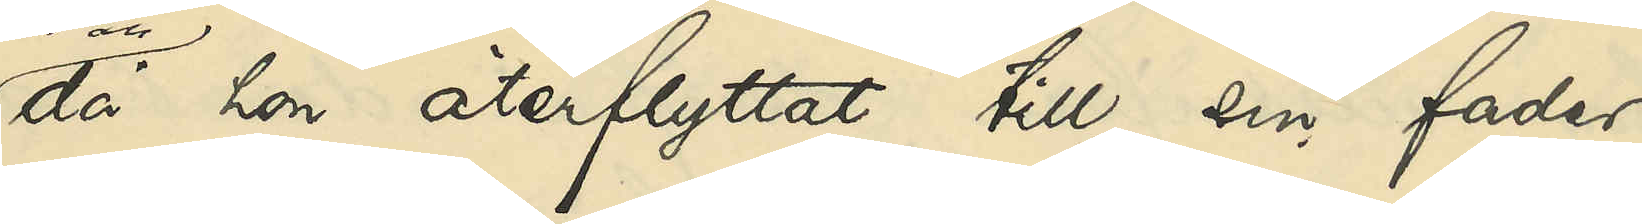då hon återflyttat till sin fader,
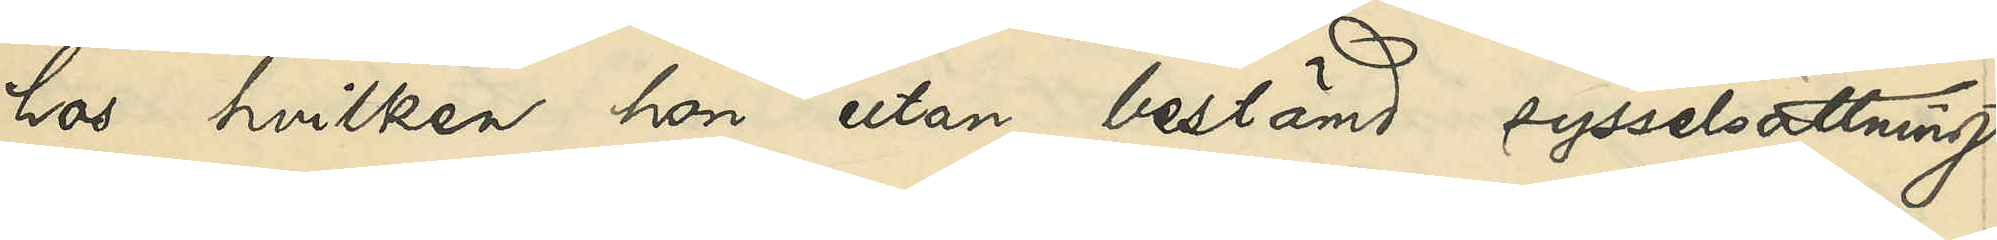hos hvilken hon utan bestämd sysselsättning
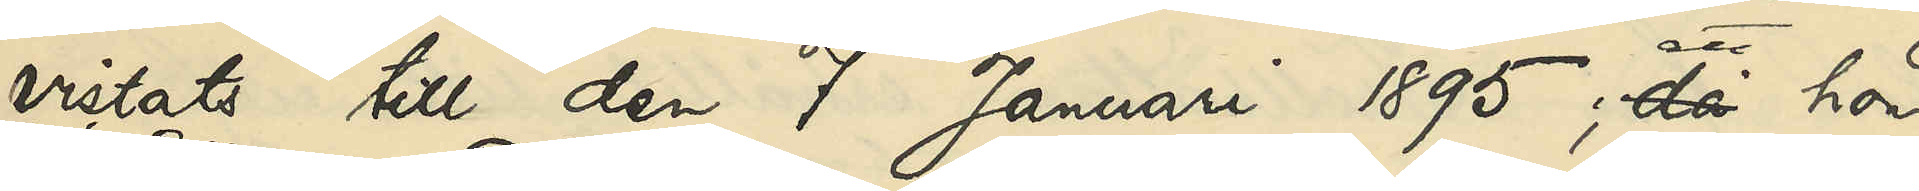vistats till den 7 Januari 1895; att hon
